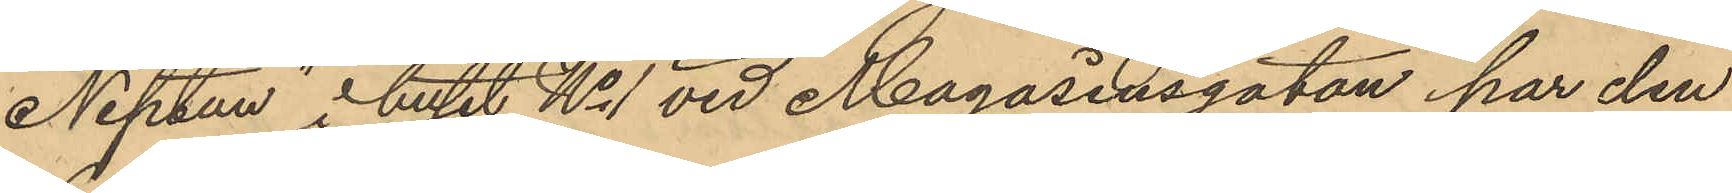Neptun i huset No 1 vid Magasinsgatan har den
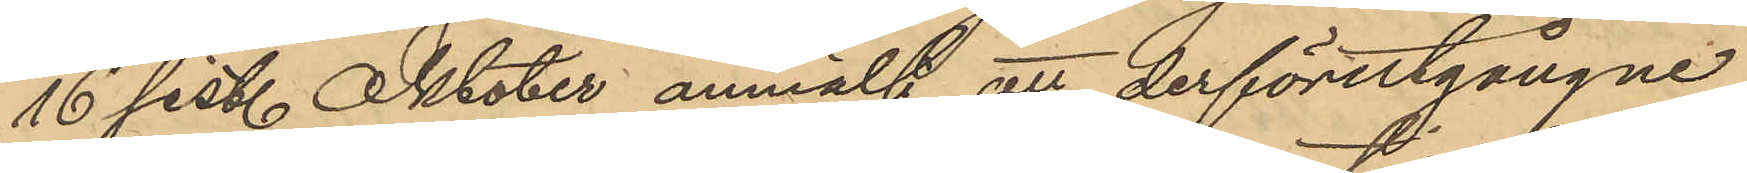16 sist. Oktober anmält att derförutgångne
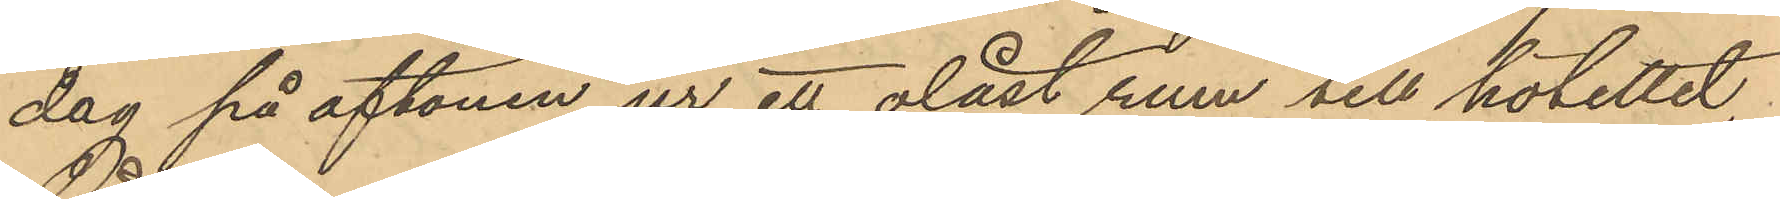dag på aftonen ur ett olåst rum till hotellet
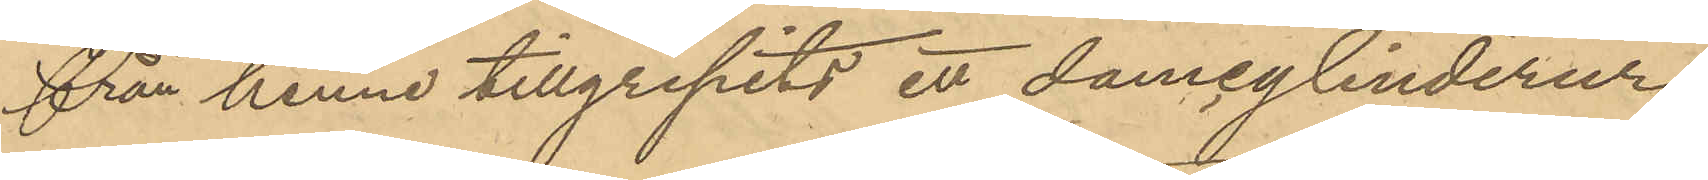från henne tillgripits ett damcylinderur
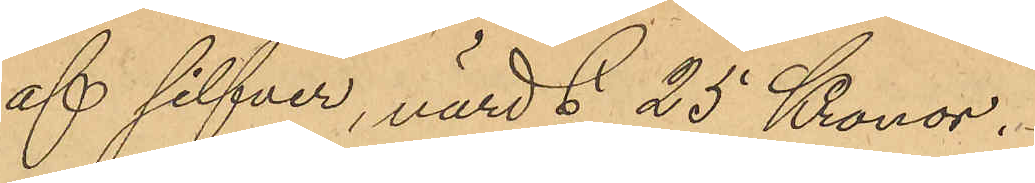af silfver, värdt 25 Kronor.
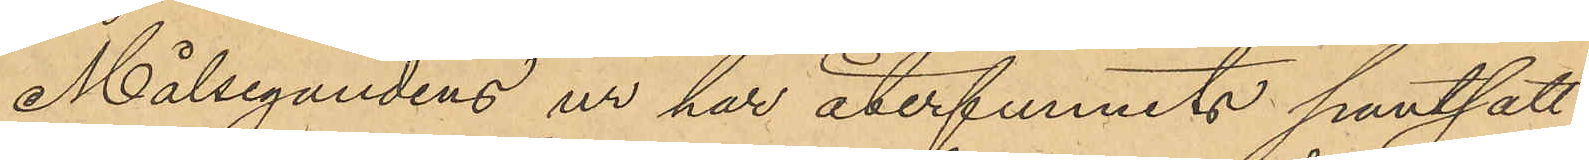Målsegandens ur har återfunnits pantsatt
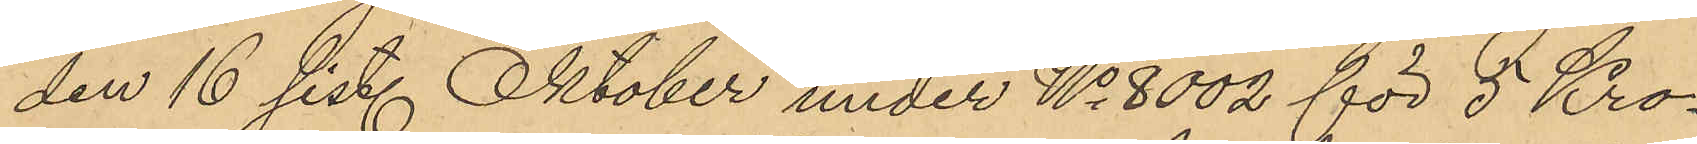den 16 sist. Oktober under No 8002 för 5 Kro¬
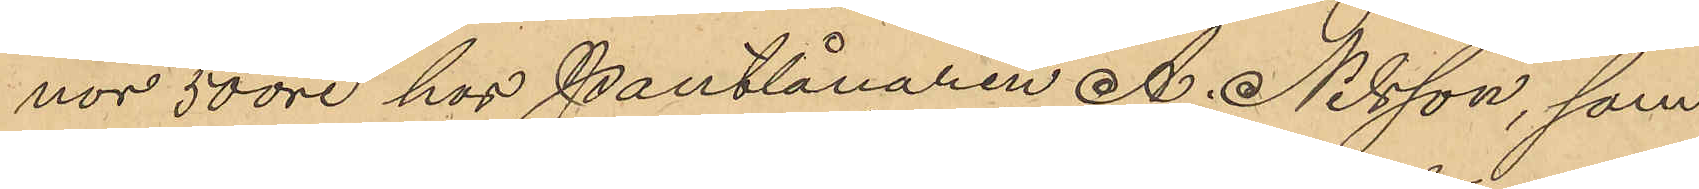nor 50 öre hos Pantlånaren A. Nilsson, som
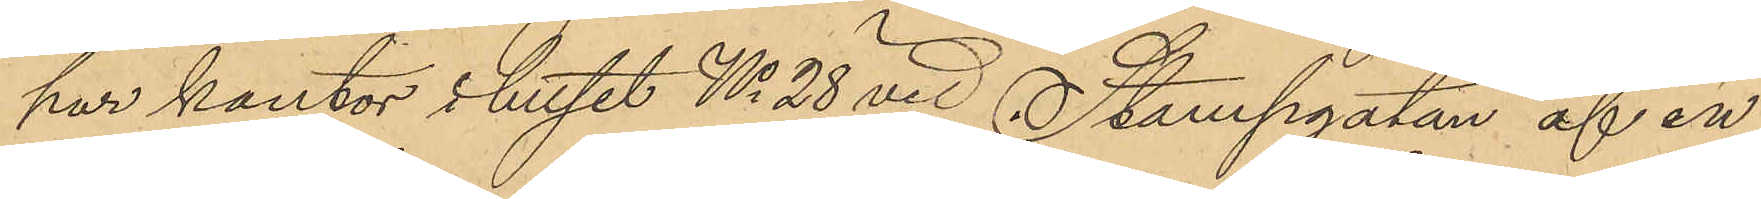har kontor i huset No 28 vid Stampgatan af en
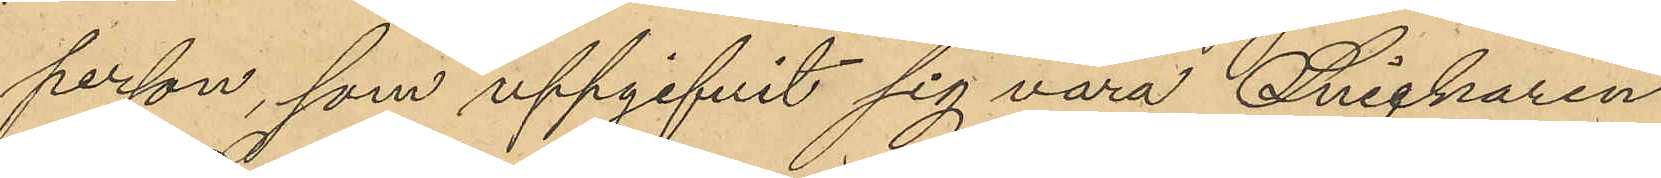person, som uppgifvit sig vara Snickaren
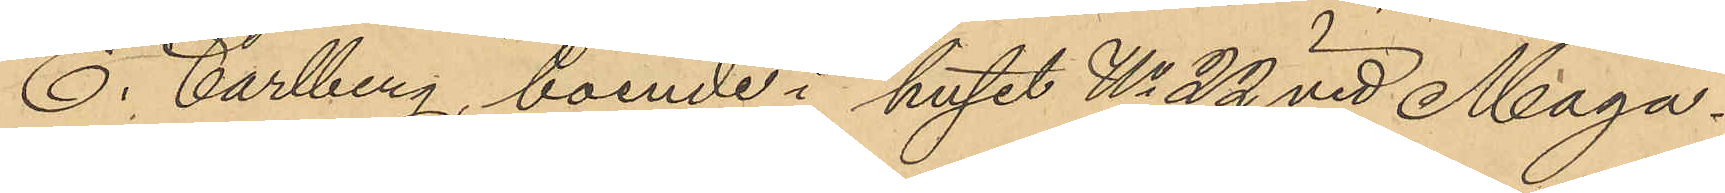E. Carlberg boende i huset No 22 vid Maga¬
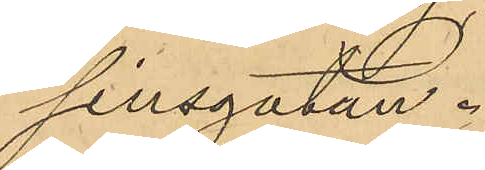sinsgatan.
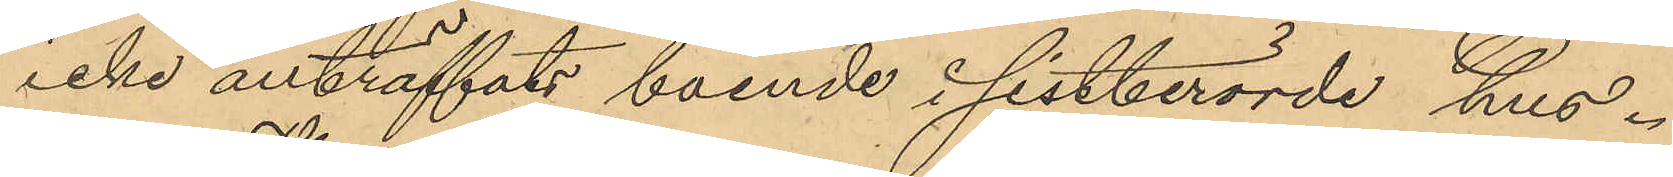icke anträffats boende i sistberörde hus.
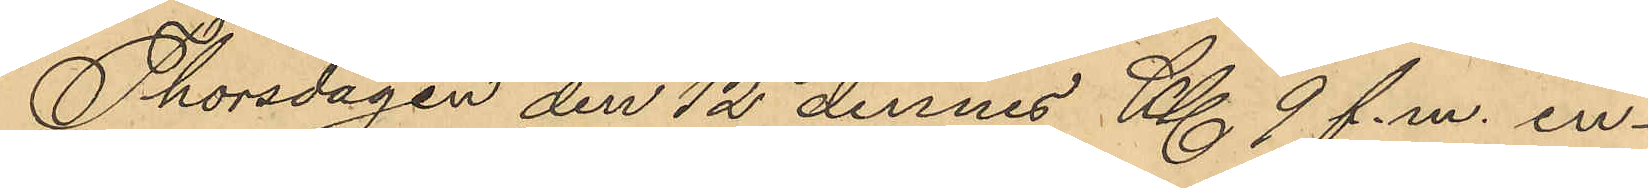Thorsdagen den 12 dennes Kl 9 f.m. in¬
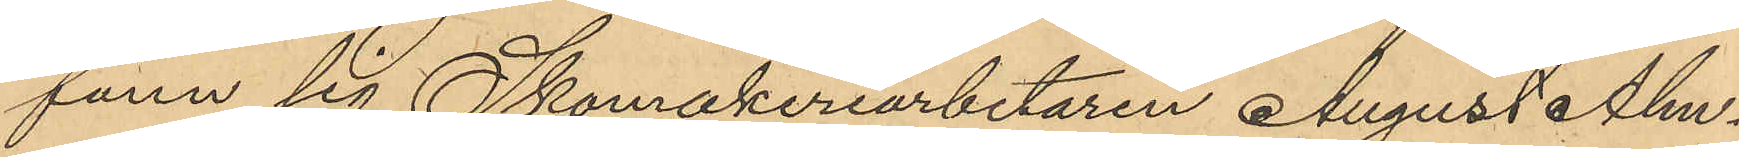fann sig Skomakeriarbetaren August Alm¬
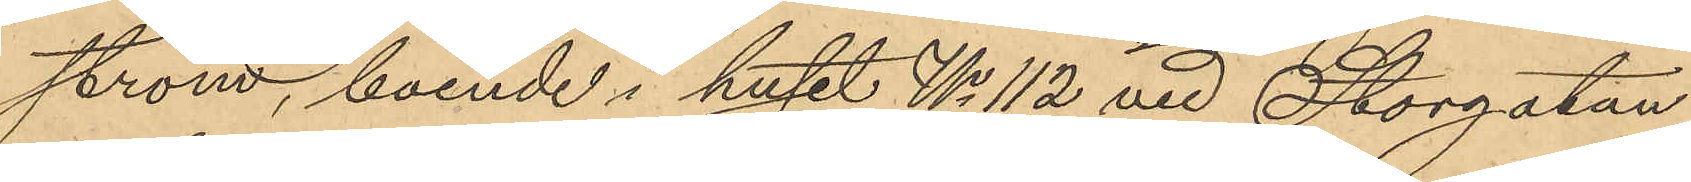ström, boende i huset No 112 vid Storgatan
